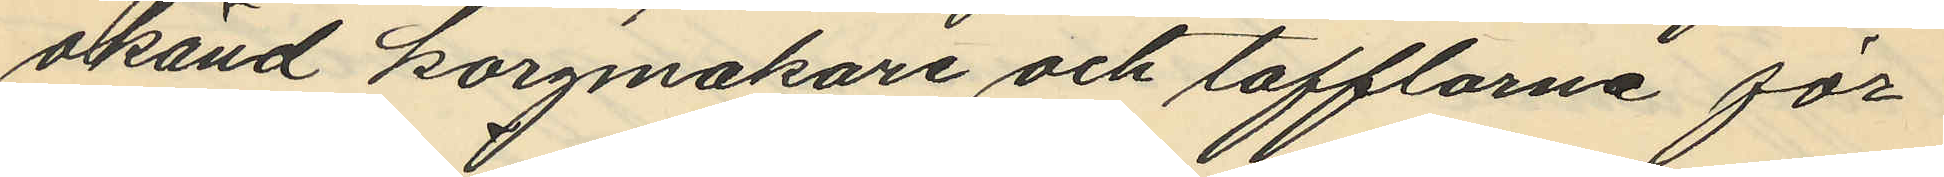okänd korgmakare och tofflorna för
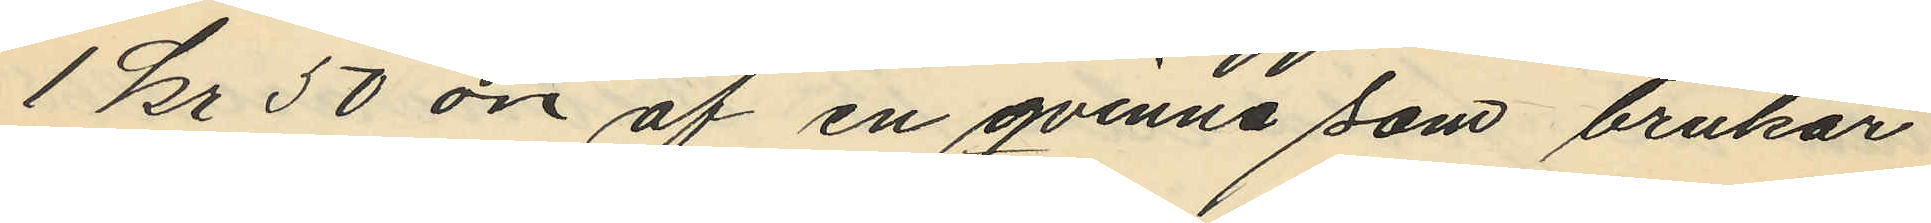1 kr 50 öre af en qvinna som brukar
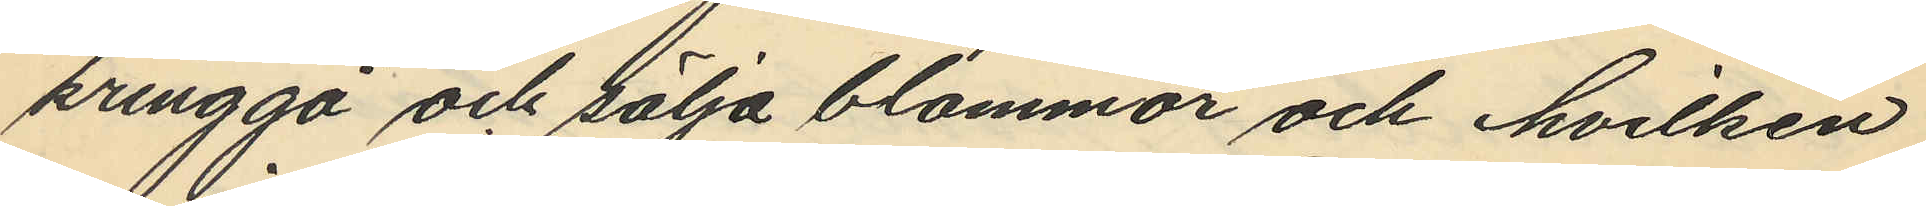kringgå och sälja blommor och hvilken
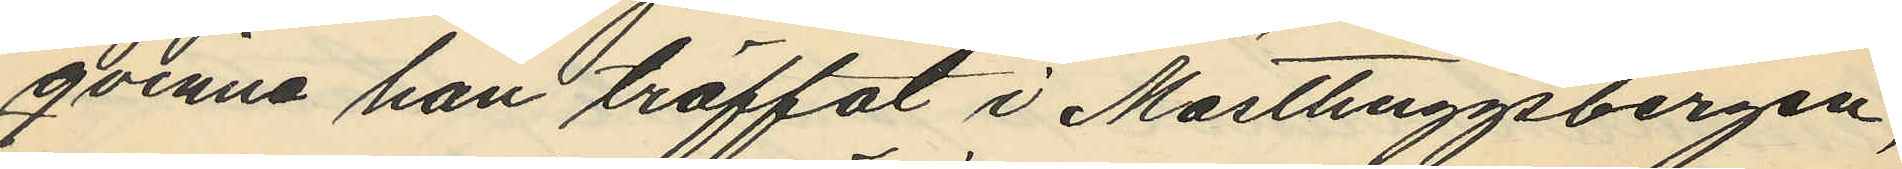qvinna han träffat i Masthuggsbergen,
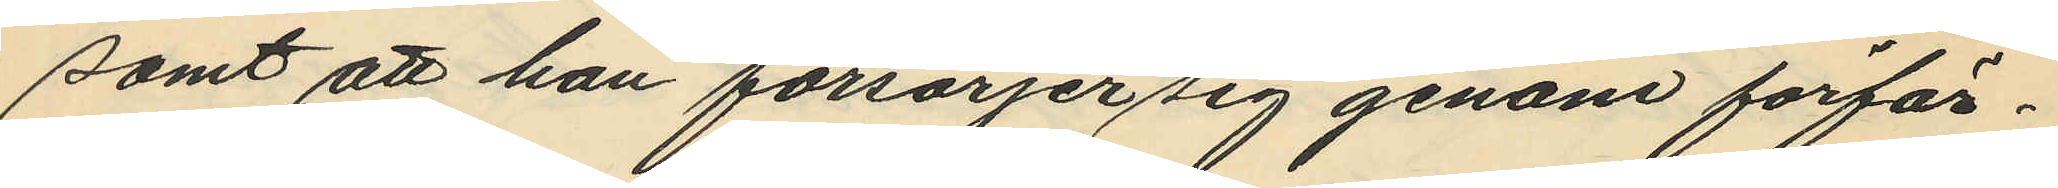samt att han försörjer sig genom förfär¬
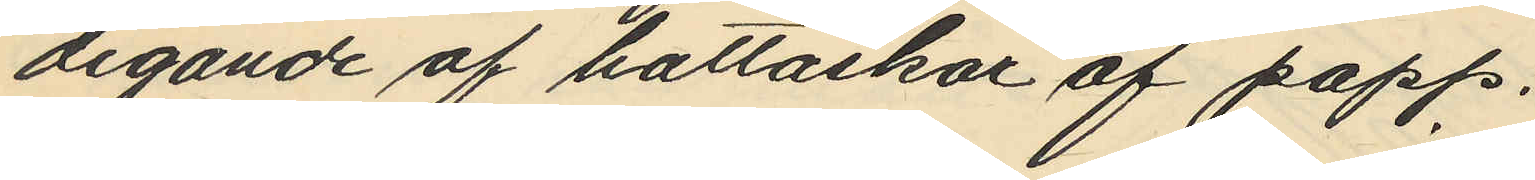digande af hattaskar af papp.
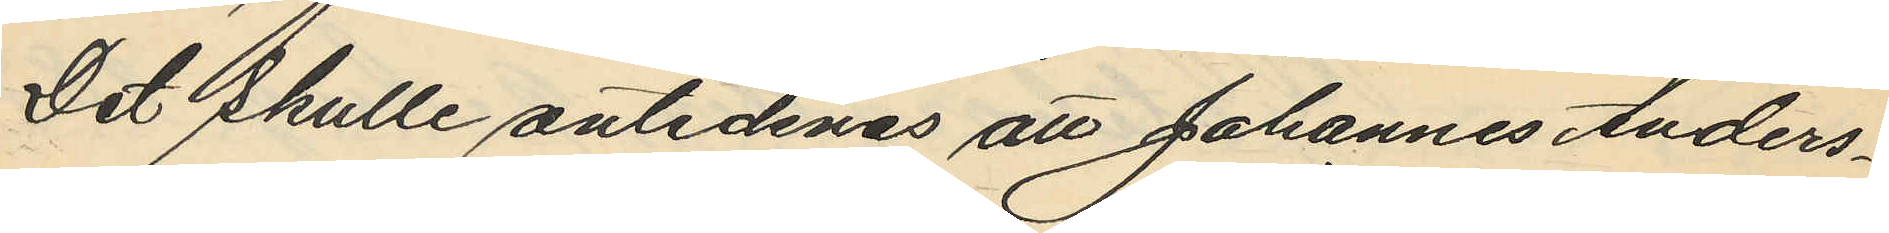Det skulle antecknas att Johannes Anders¬
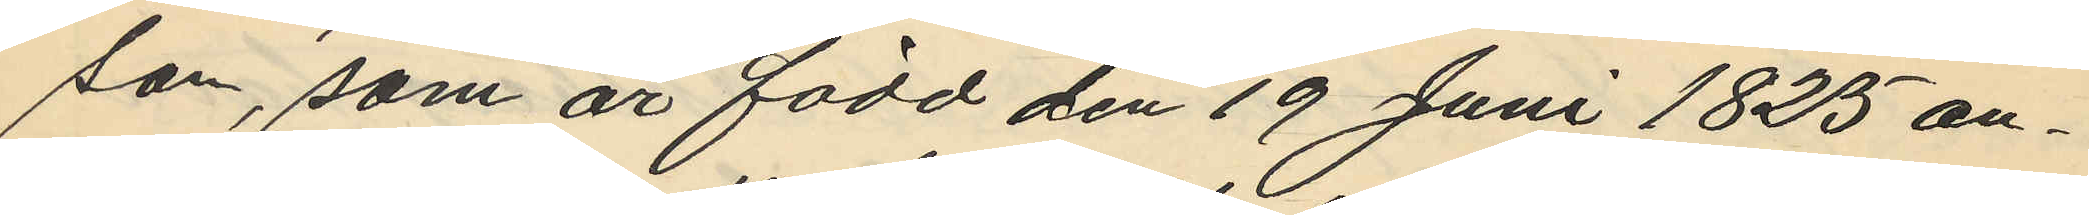son, som är född den 19 Juni 1825 an¬
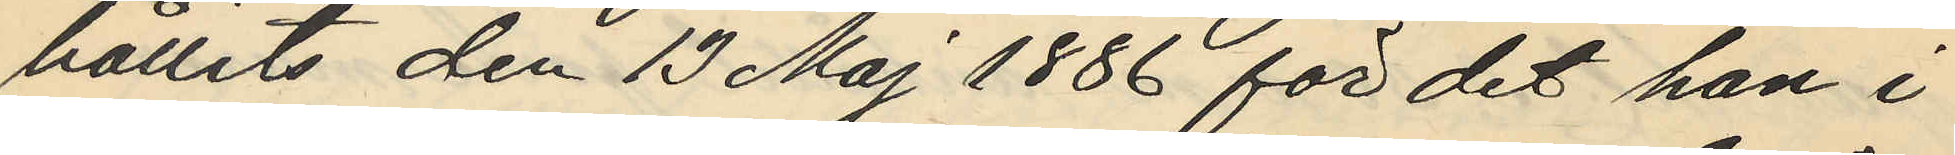hållits den 13 Maj 1886 för det han i
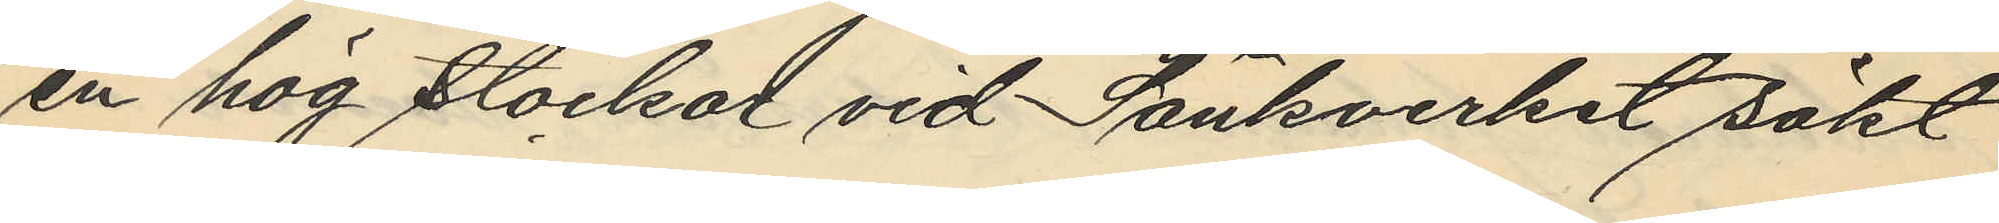en hög stockar vid Sänkverket sökt
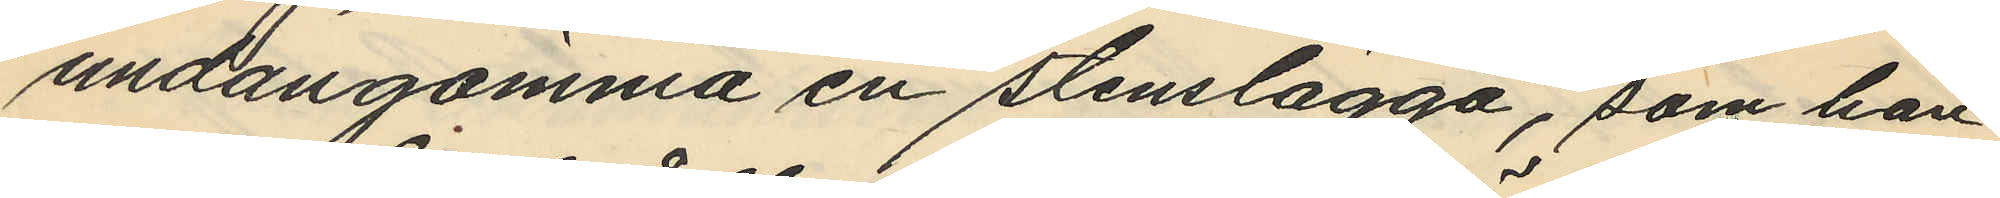undangömma en stenslägga, som han
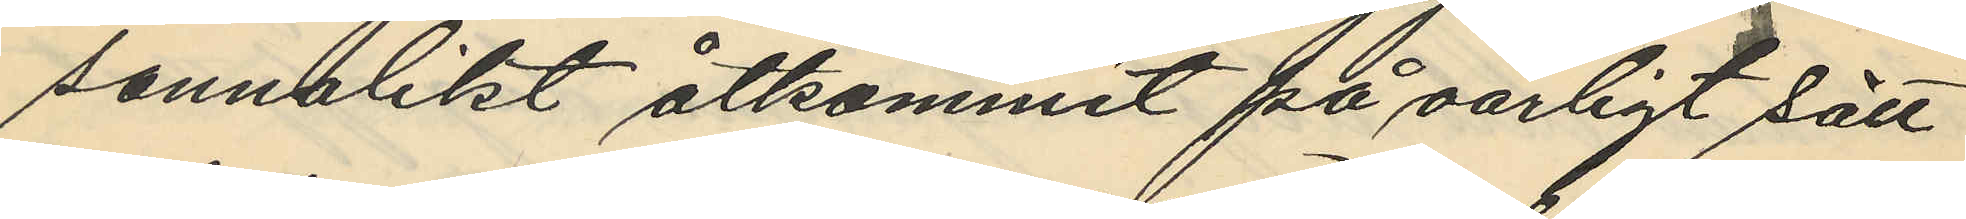sannolikt åtkommit på oärligt sätt
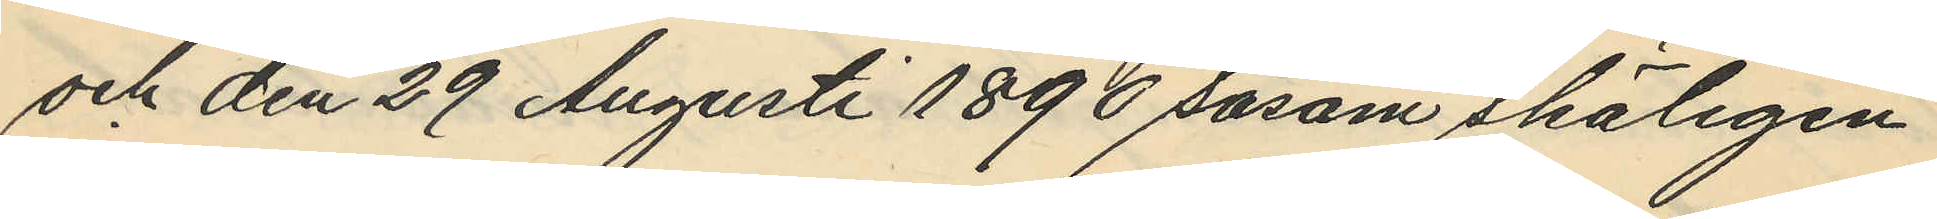och den 29 Augusti 1890 såsom skäligen
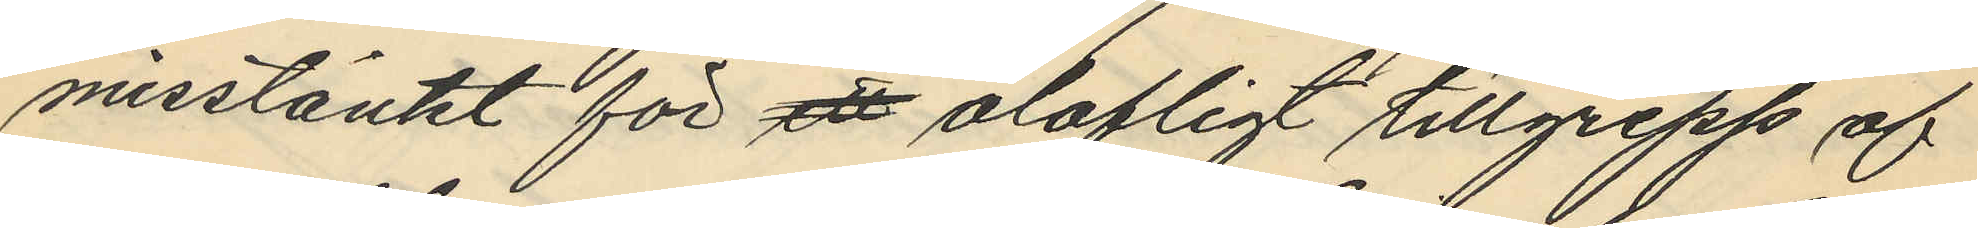misstänkt för ett olofligt tillgrepp af
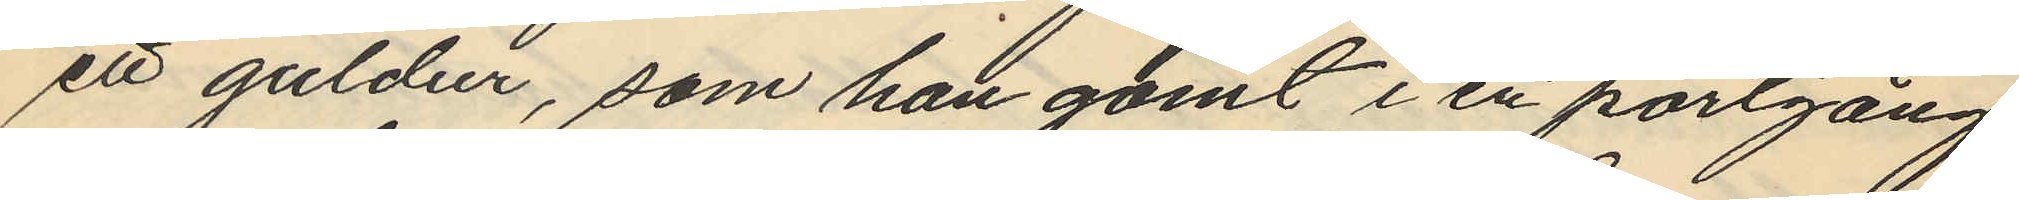ett guldur, som han gömt i en portgång
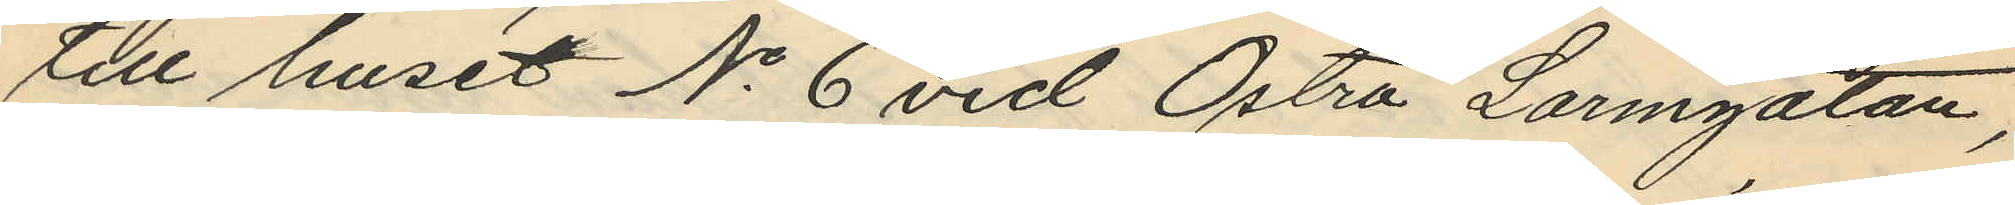till huset No 6 vid Östra Larmgatan,
